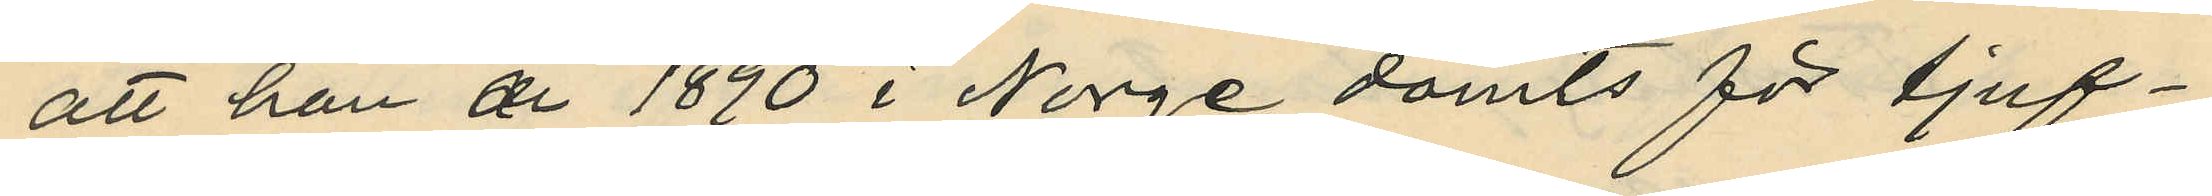att han år 1890 i Norge dömts för tjuf¬
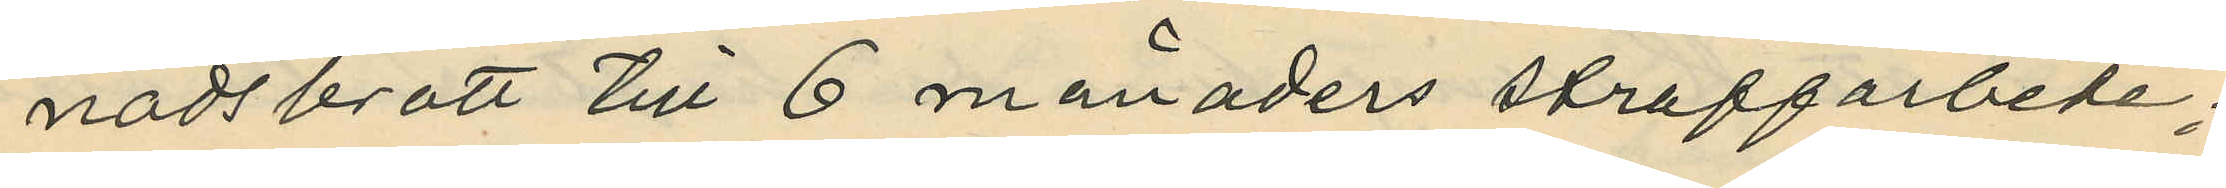nadsbrott till 6 månaders straffarbete;
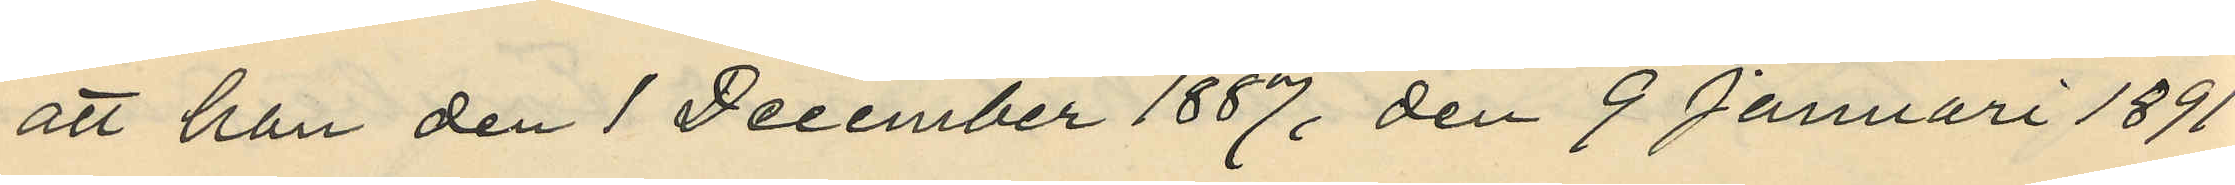att han den 1 December 1887, den 9 Januari 1891
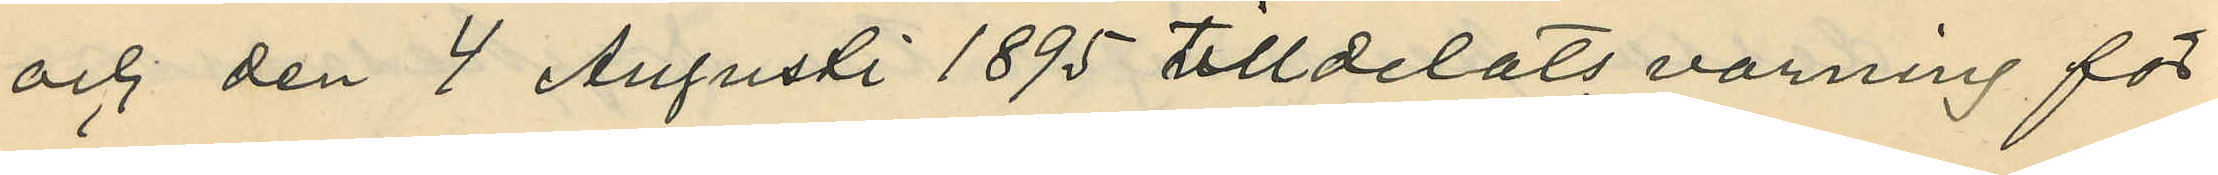och den 4 Augusti 1895 tilldelats varning för
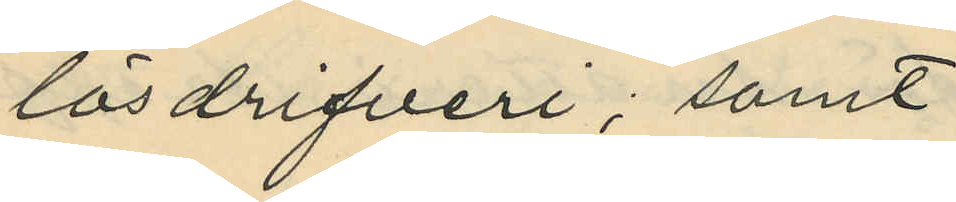lösdrifveri; samt
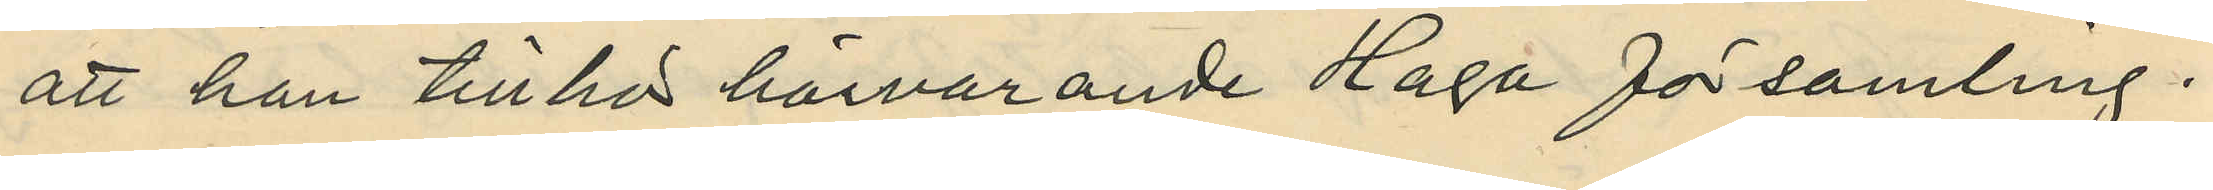att han tillhör härvarande Haga församling.
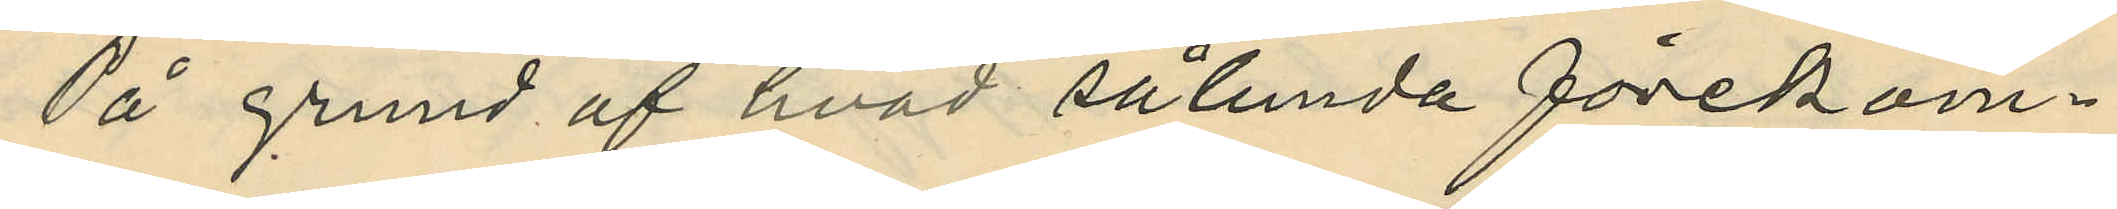På grund af hvad sålunda förekom¬
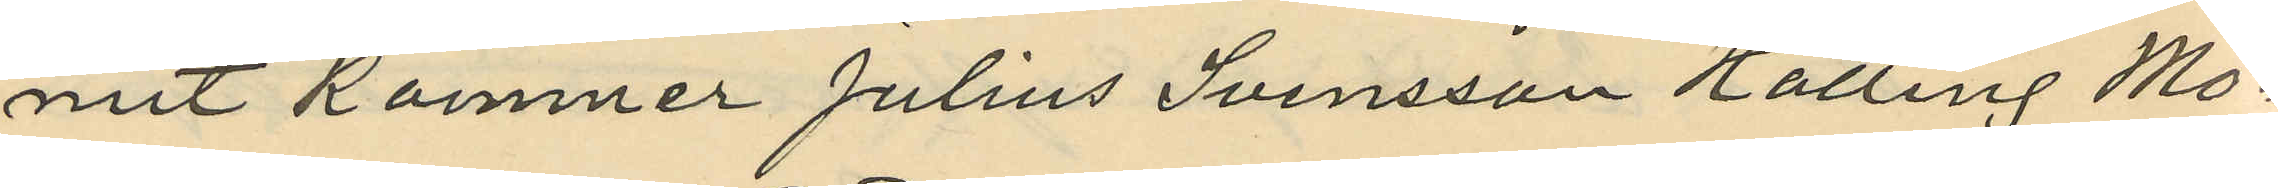mit kommer Julius Svensson Halling Mo¬
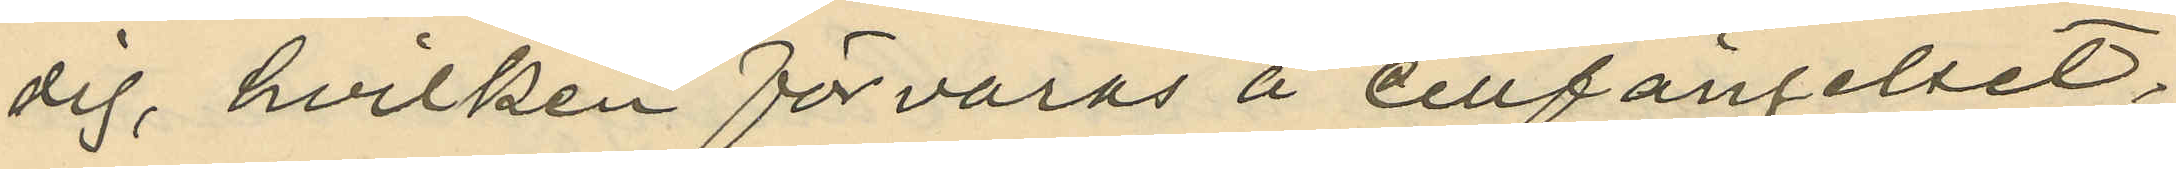dig, hvilken förvaras å cellfängelset;
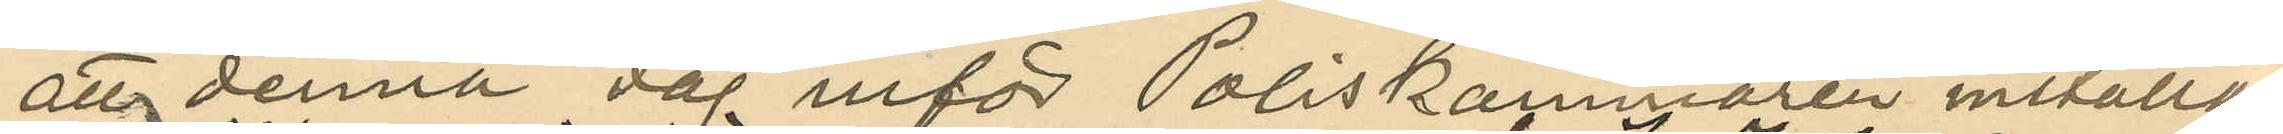att denna dag inför Poliskammaren inställas.
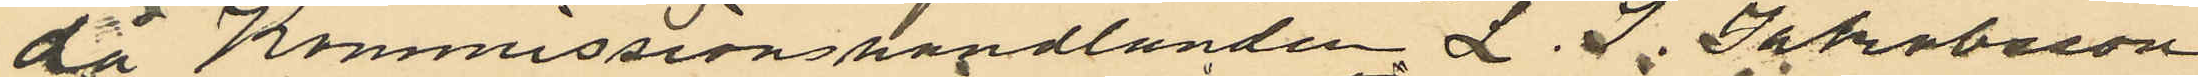då Konmissionhandlanden L. J. Jakobsson
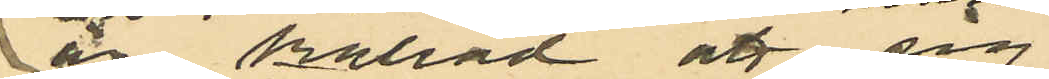är kallad att sig
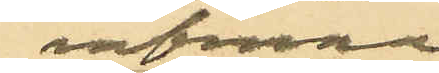infinna
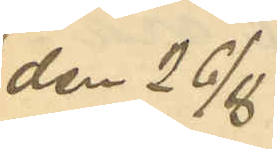den 26/8
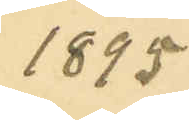1895
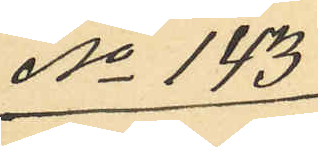No 143
